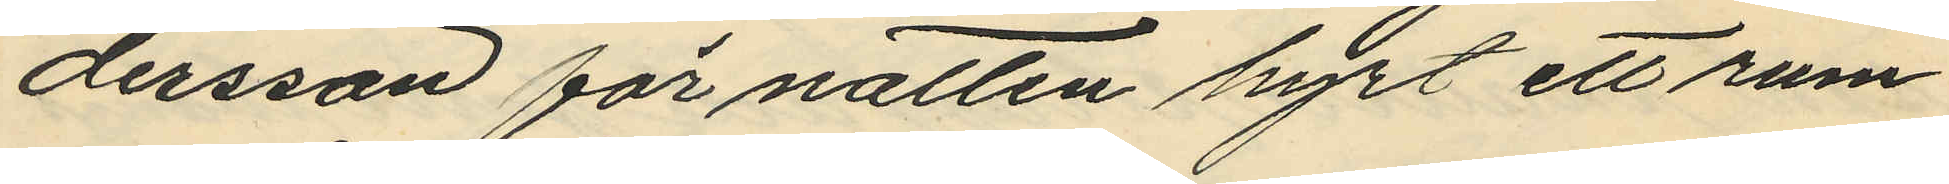dersson för natten hyrt ett rum
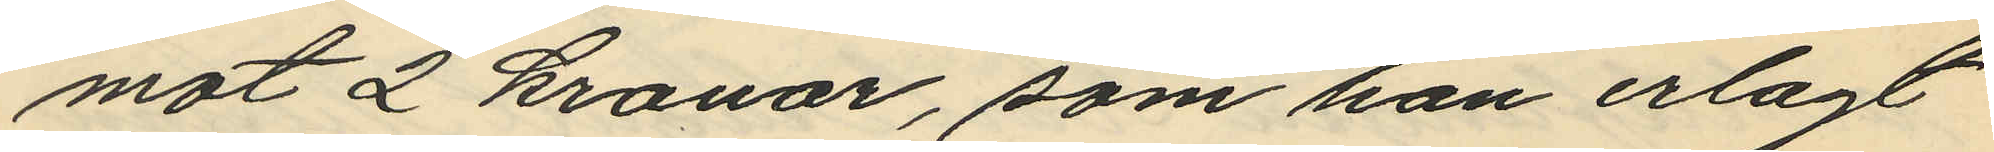mot 2 kronor, som han erlagt
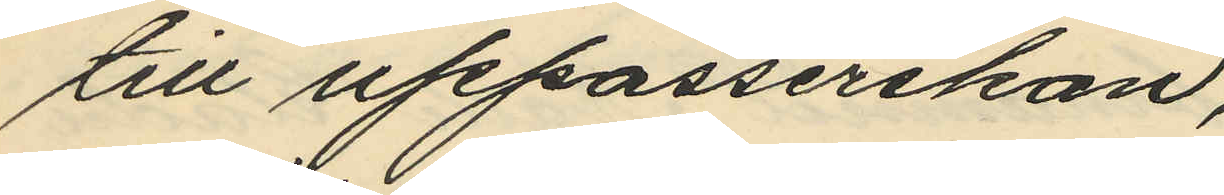till uppasserskan,
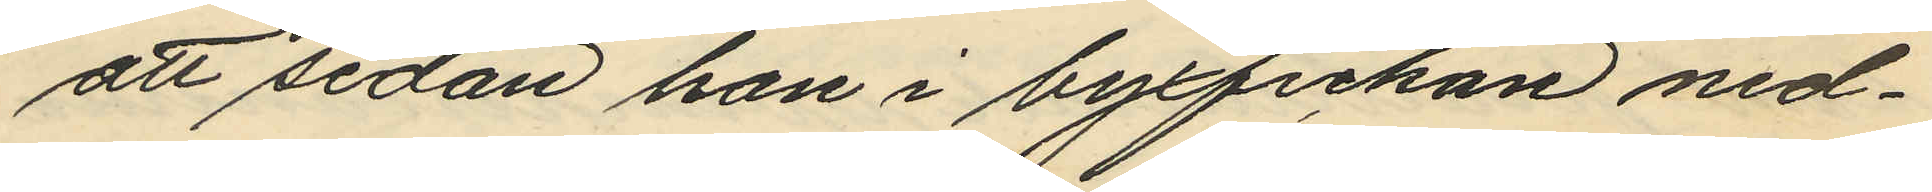att sedan han i byxfickan ned¬
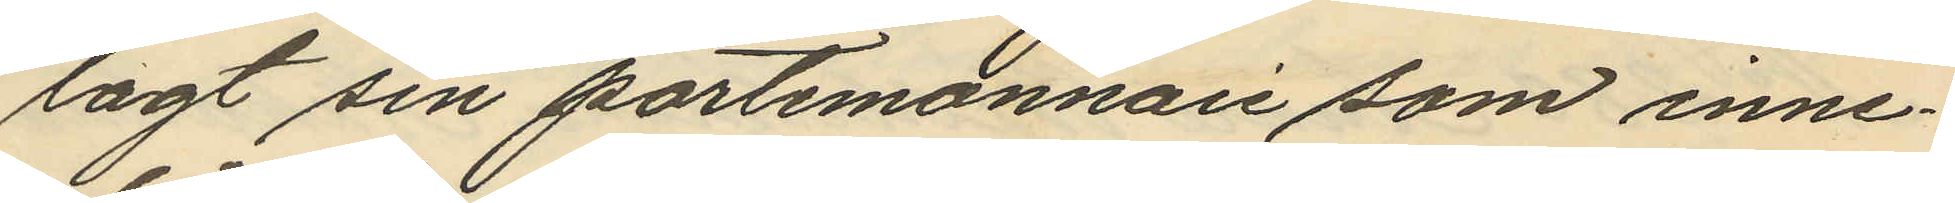lagt sin portmonnaie som inne¬
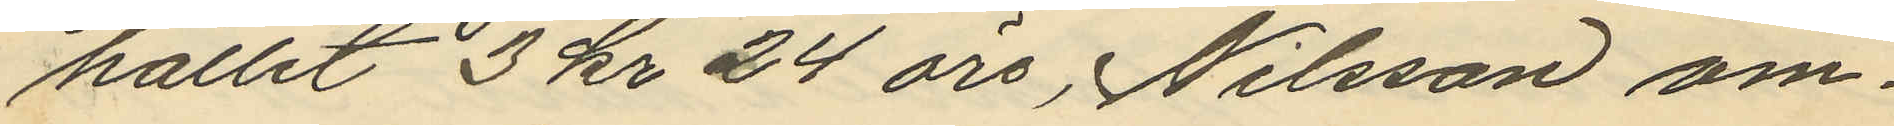hållit 3 kr 24 öre, Nilsson om¬
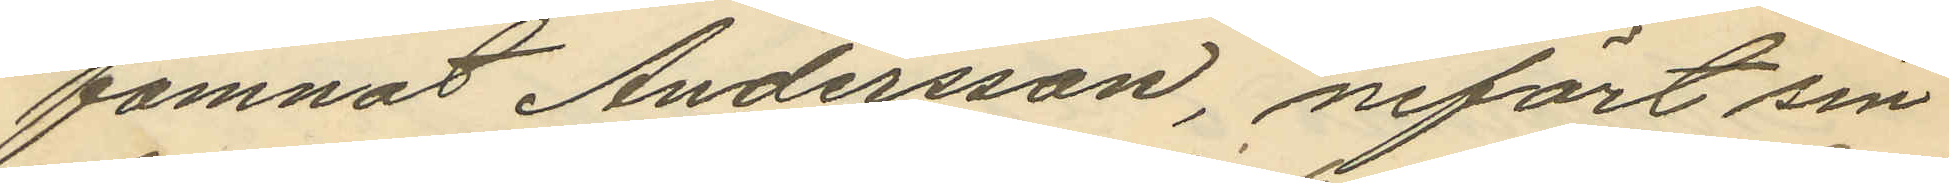famnat Andersson, infört sin
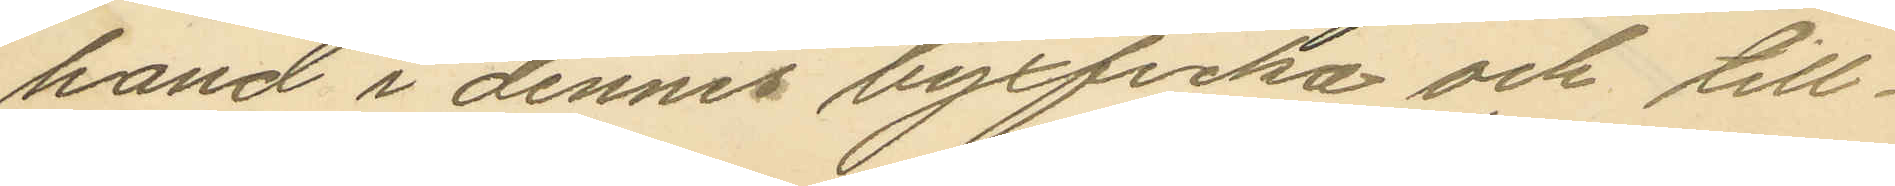hand i dennes byxficka och till¬
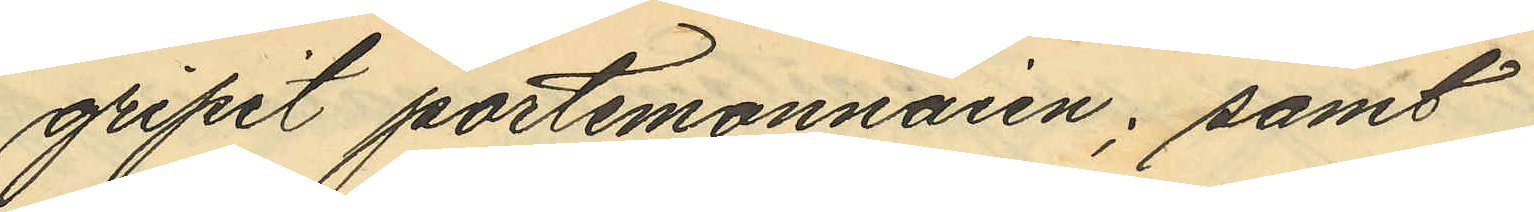gripit portemonnaien; samt
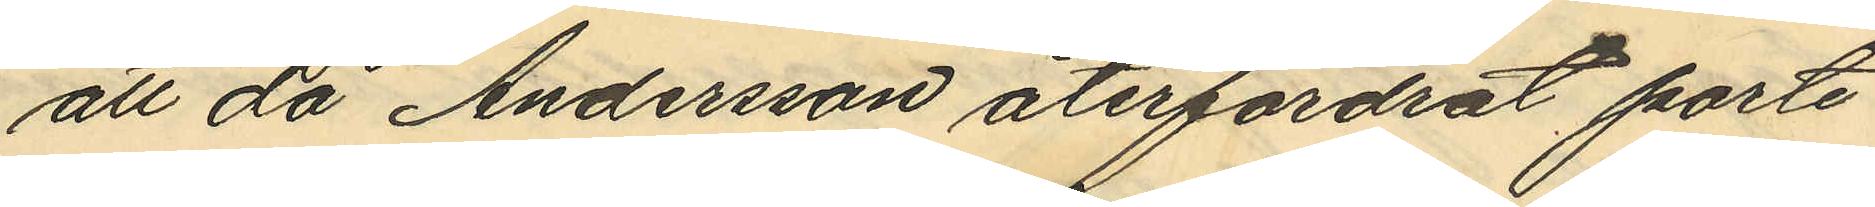att då Andersson återfordrat porte¬
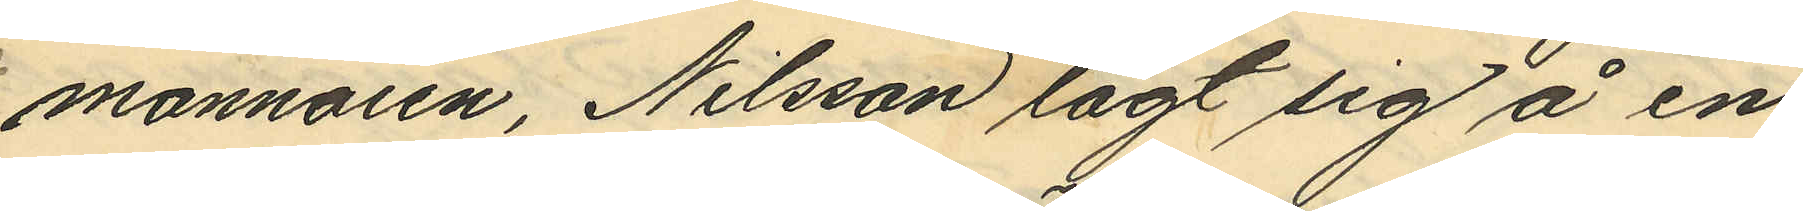monnaien, Nilsson lagt sig å en
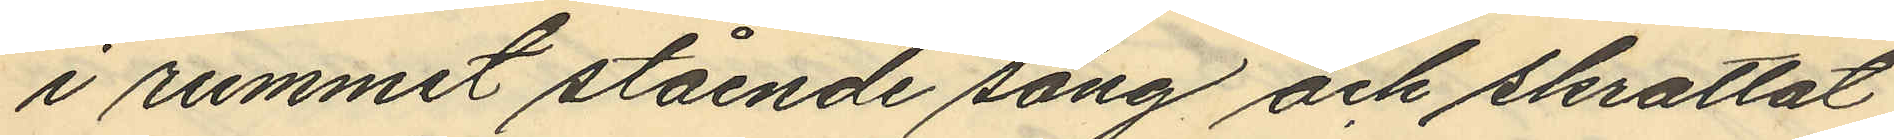i rummet stående säng och skrattat
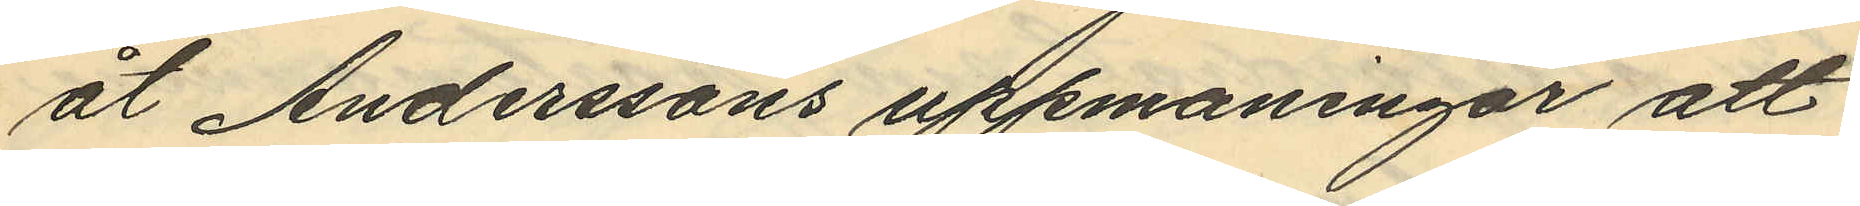åt Anderssons uppmaningar att
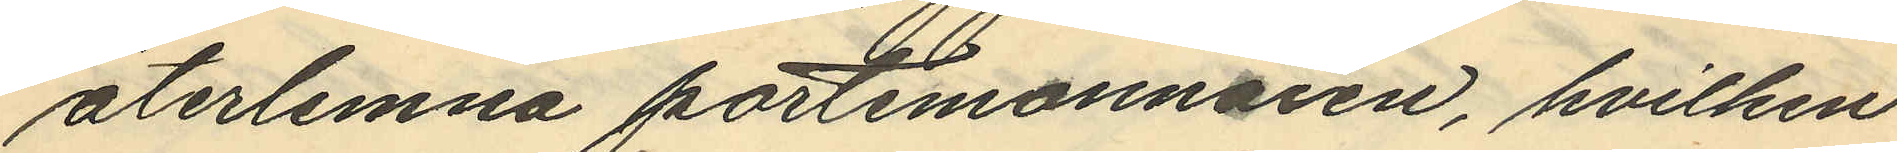återlemna portmonnaien, hvilken
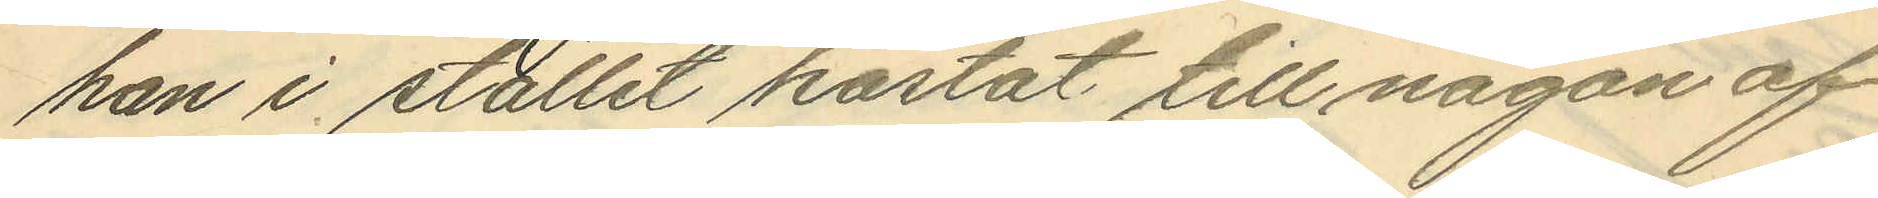han i stället kastat till någon af
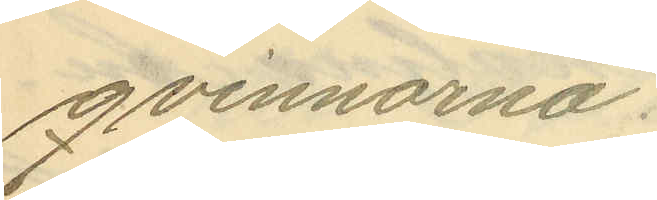qvinnorna.
